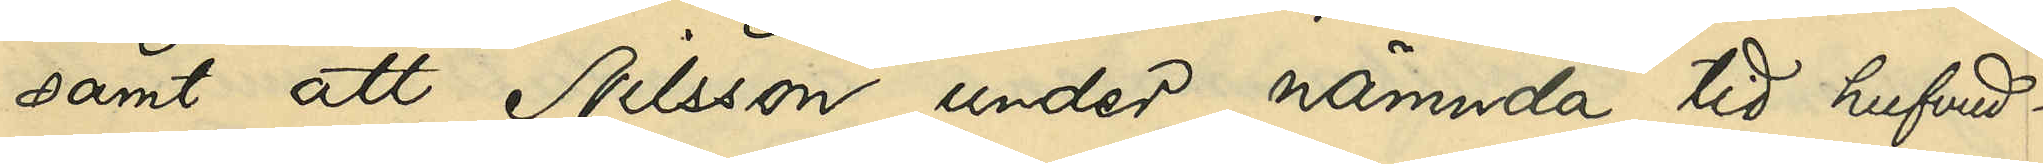samt att Nilsson under nämnda tid hufvud¬
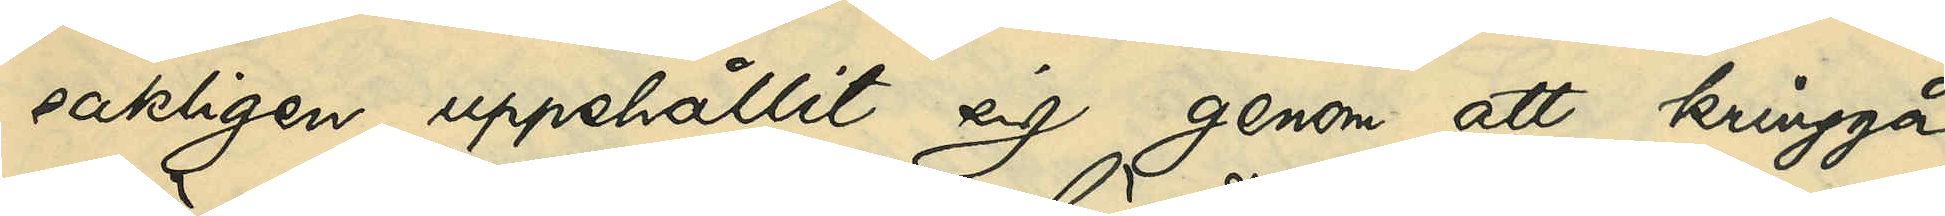sakligen uppehållit sig genom att kringgå
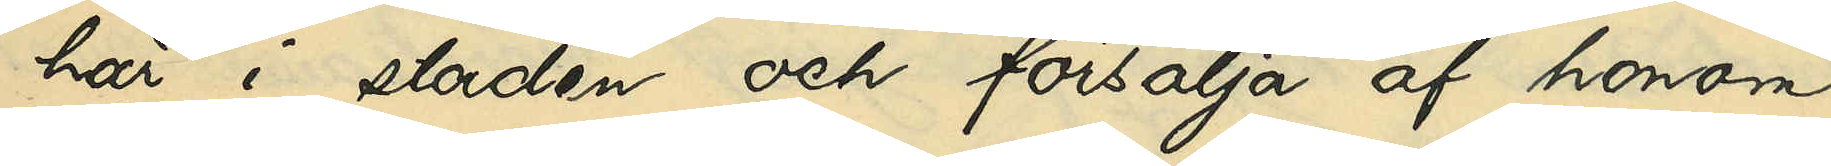här i staden och försälja af honom
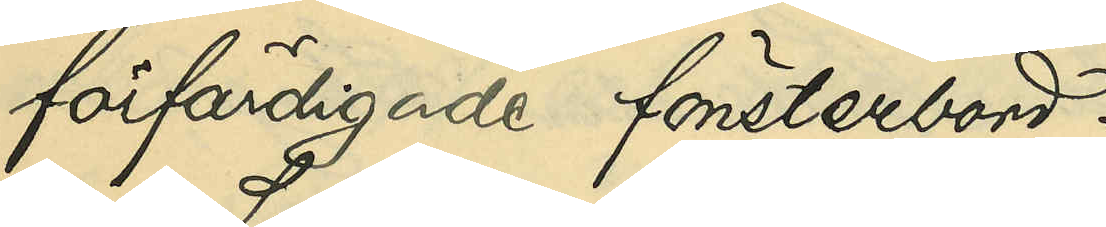förfärdigade fönsterbord.
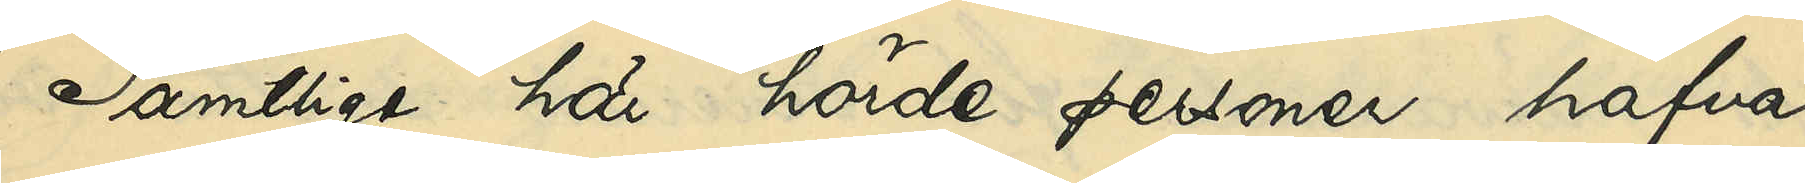Samtlige här hörde personer hafva
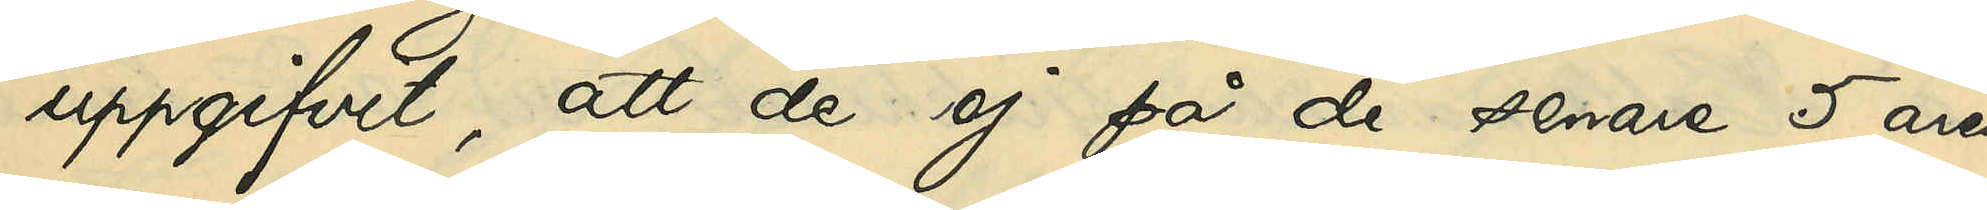uppgifvit, att de ej på de senare 5 åren
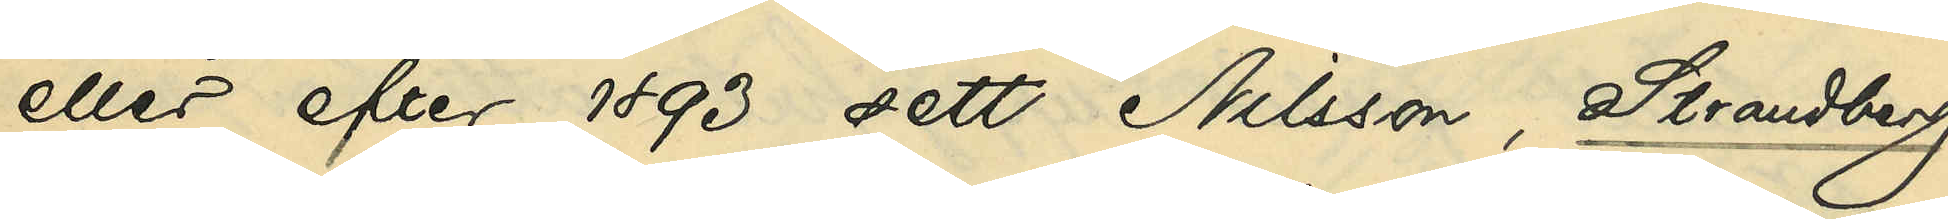eller efter 1893 sett Nilsson, Strandberg
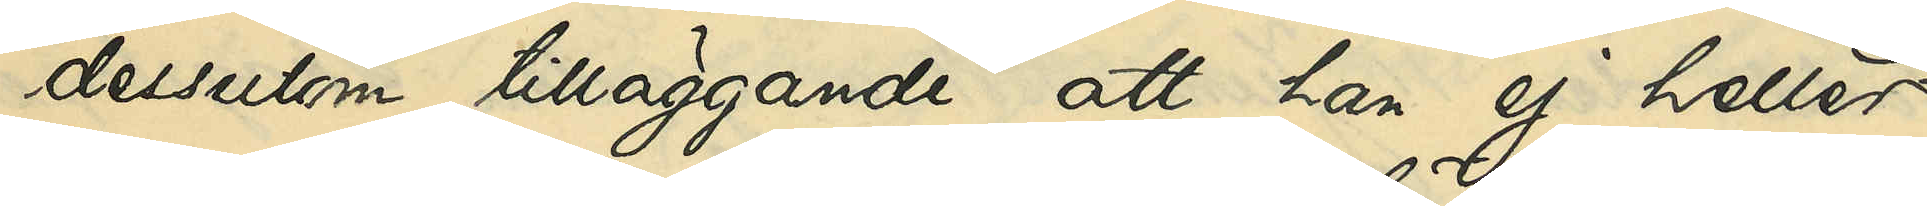dessutom tilläggande, att han ej heller
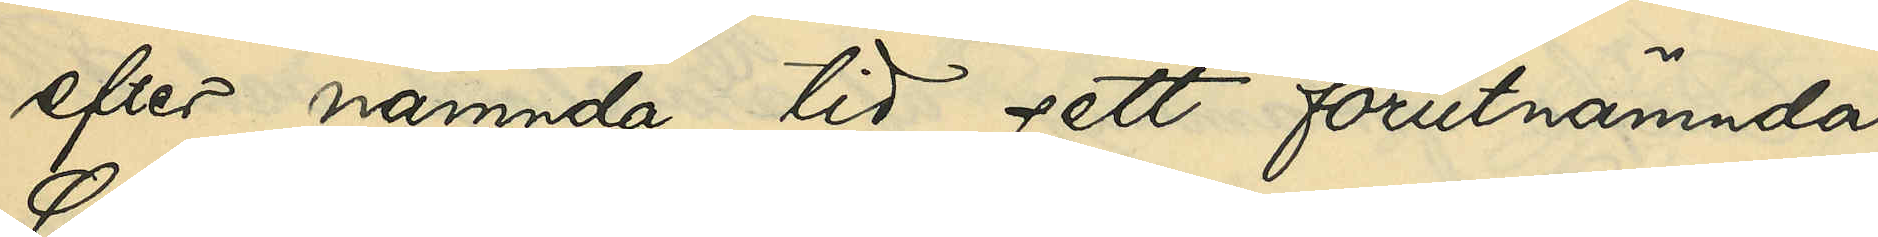efter nämnda tid sett förutnämnda
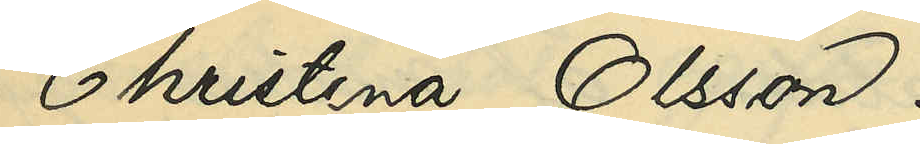Christina Olsson.
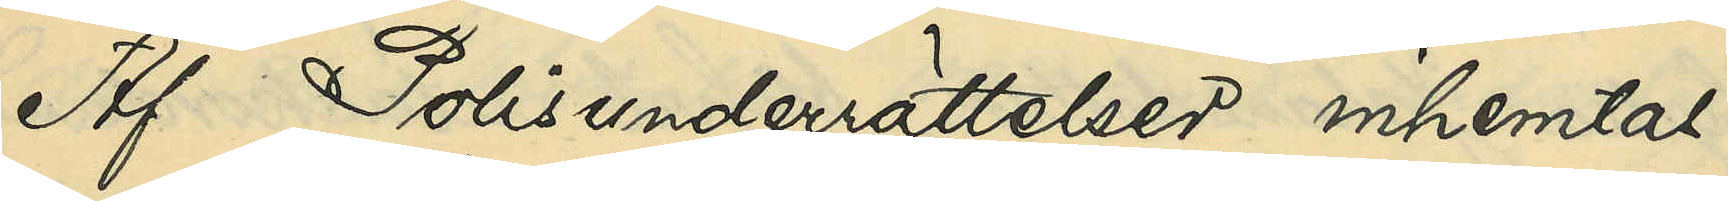Af Polisunderrättelser inhemtas
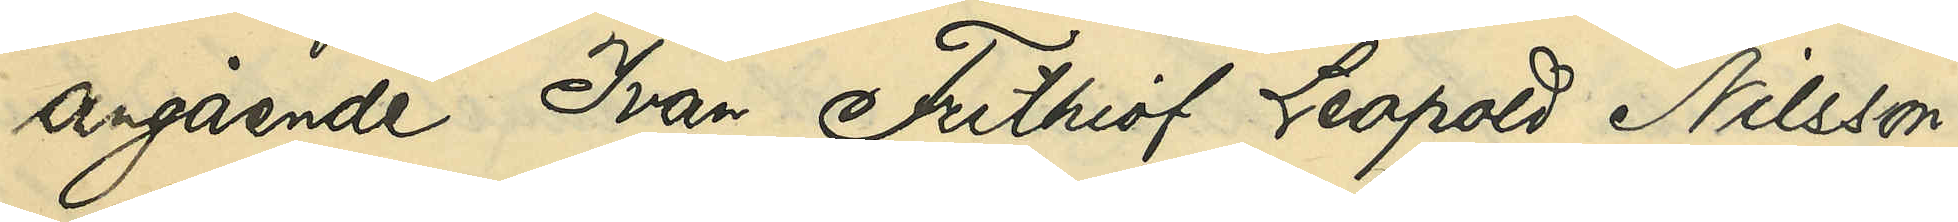angående Ivan Frithiof Leopold Nilsson:
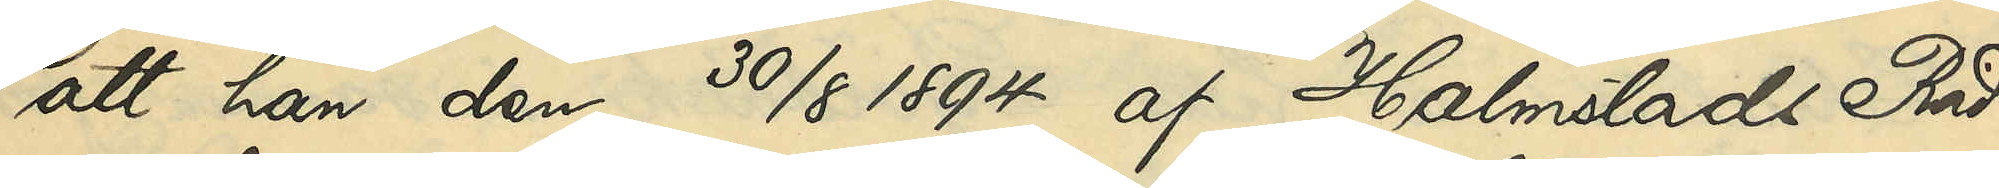att han den 30/8 1894 af Halmstads Råd¬
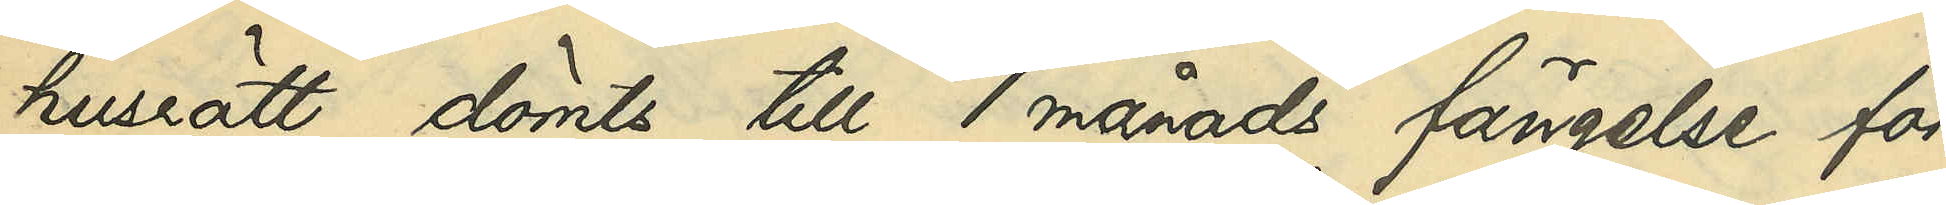husrätt dömts till 1 månads fängelse för
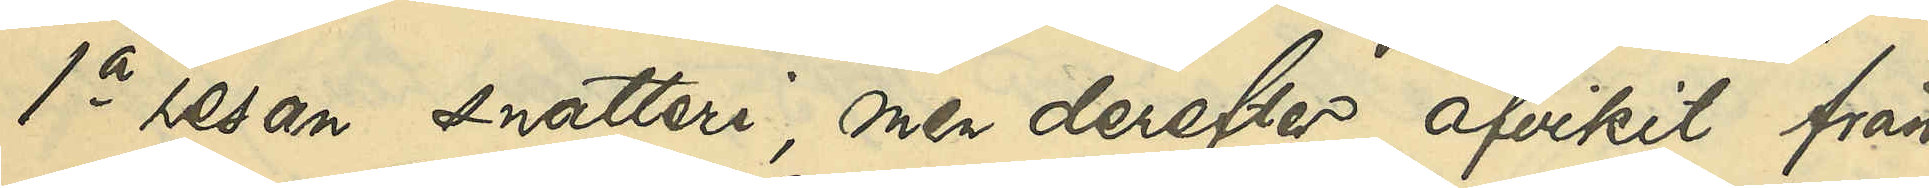1a resan snatteri, men derefter afvikit från
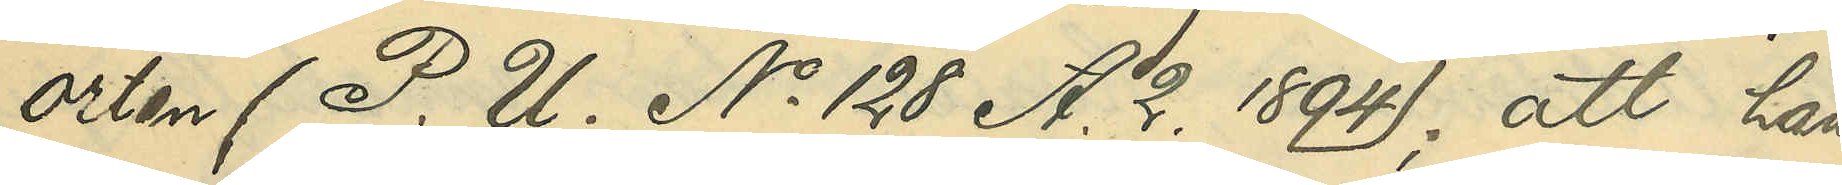orten (P. U. No 128 A. 2. 1894); att han
